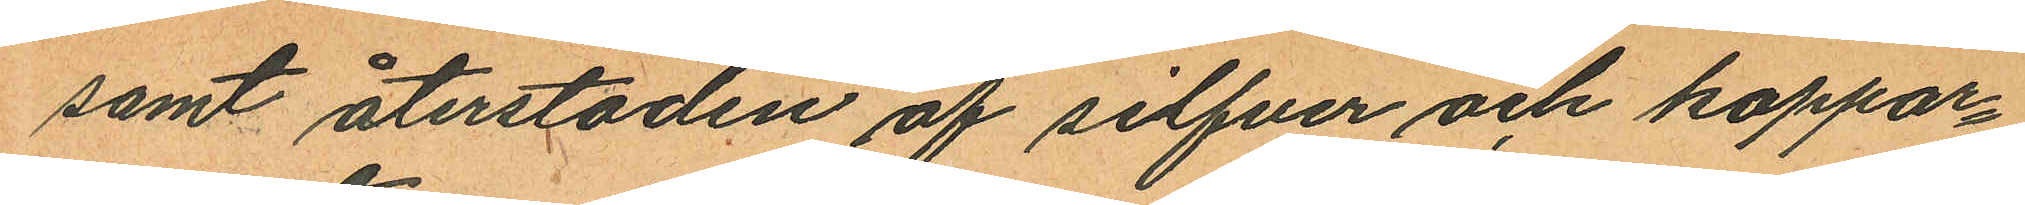samt återstoden af silfver och koppar¬
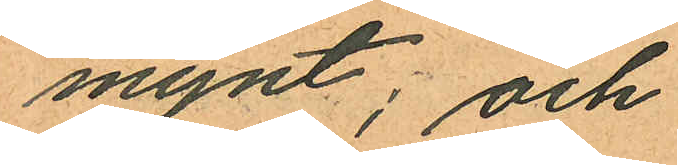mynt; och
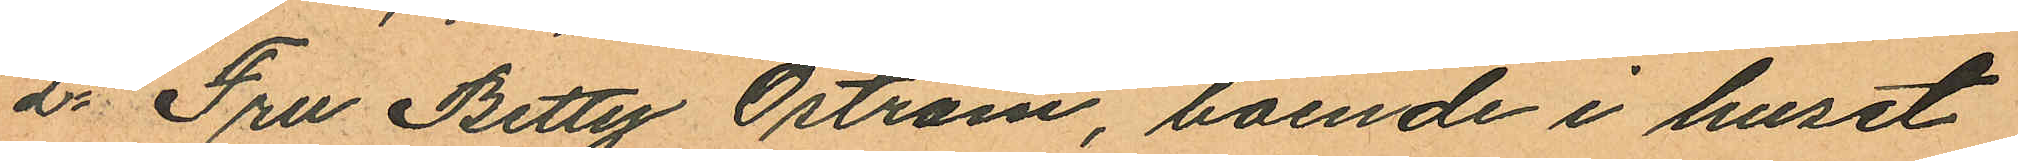2o Fru Betty Öström, boende i huset
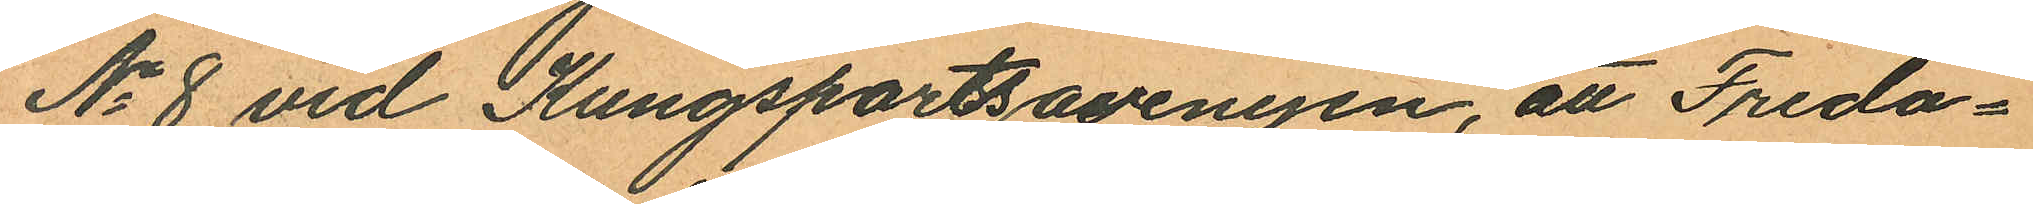No 8 vid Kungsportsavenyn, att Freda¬
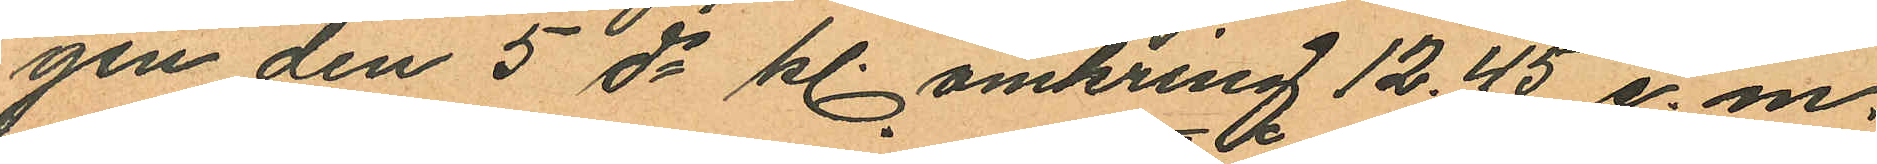gen den 5 ds kl. omkring 12.45 e. m.
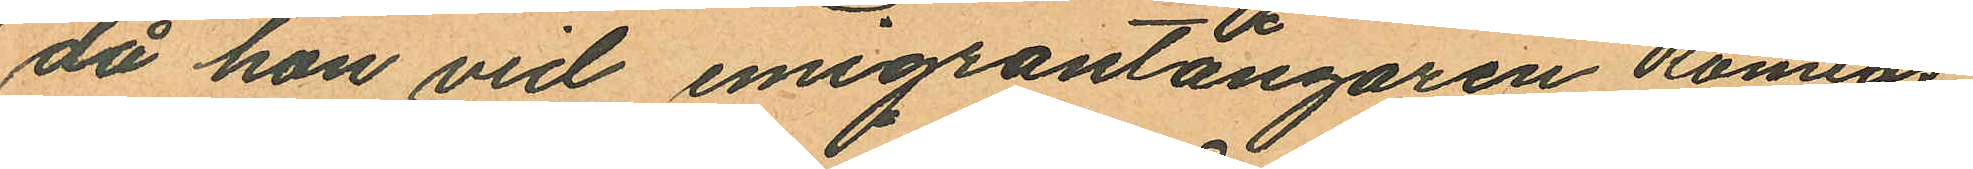då hon vid emigrantångaren "Romeos"
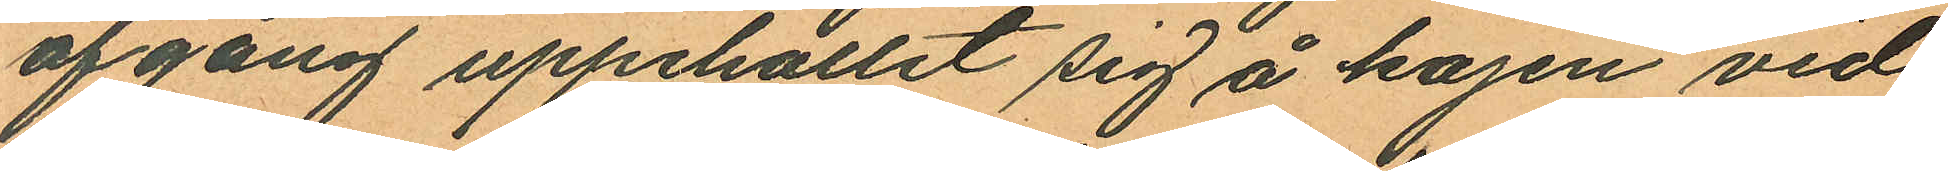afgång uppehållit sig å kajen vid
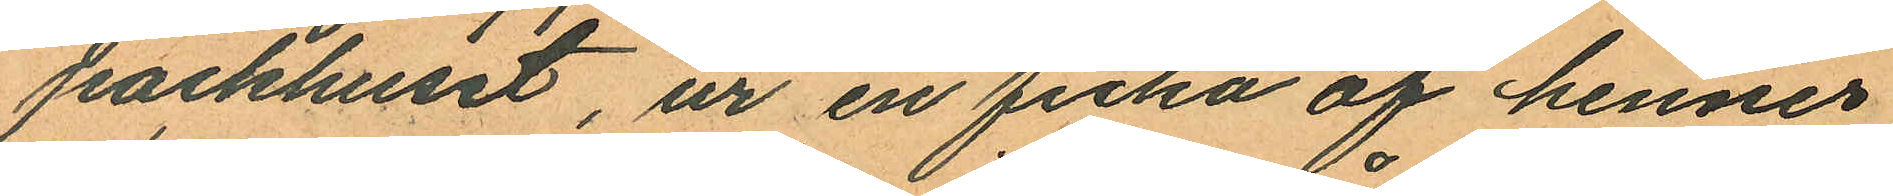packhuset, ur en ficka af hennes
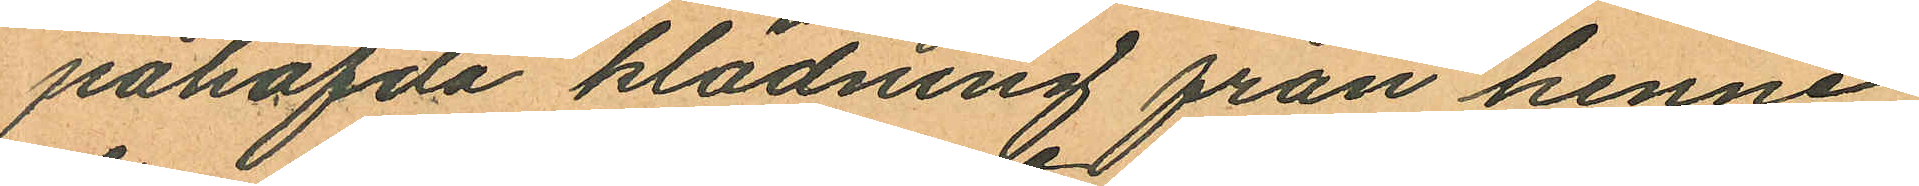påhafda klädning från henne
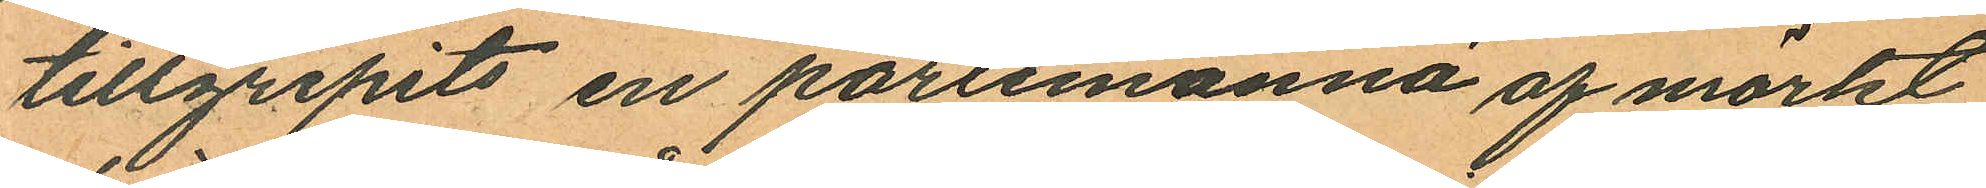tillgripits en portemonnä af mörkt
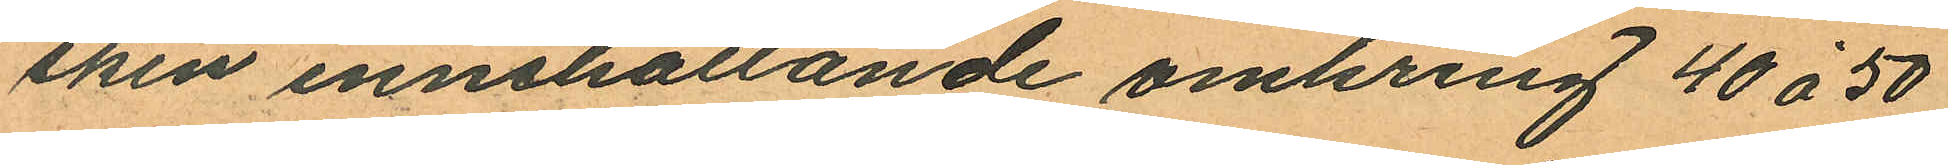skin innehållande omkring 40 à 50
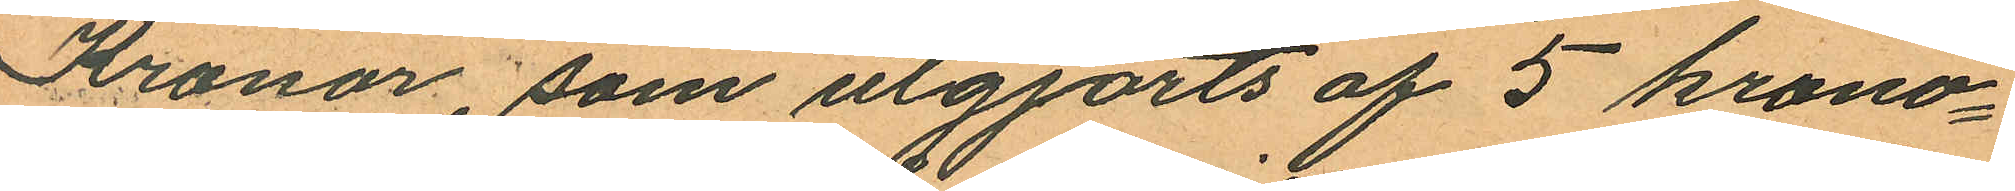Kronor, som utgjorts af 5 krono¬
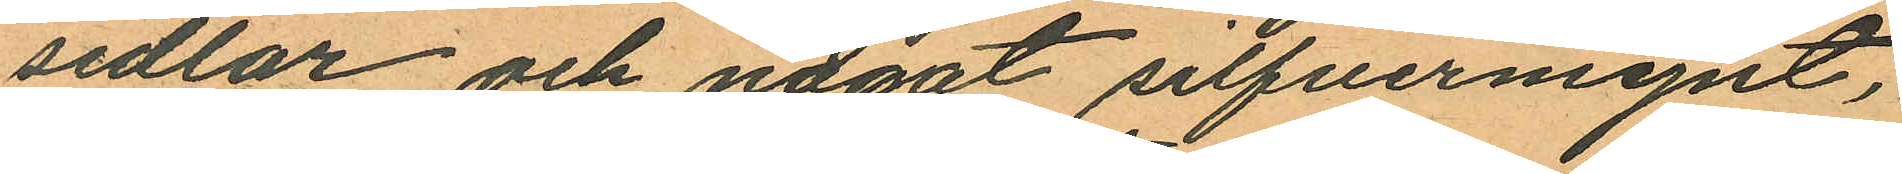sedlar och något silfvermynt,
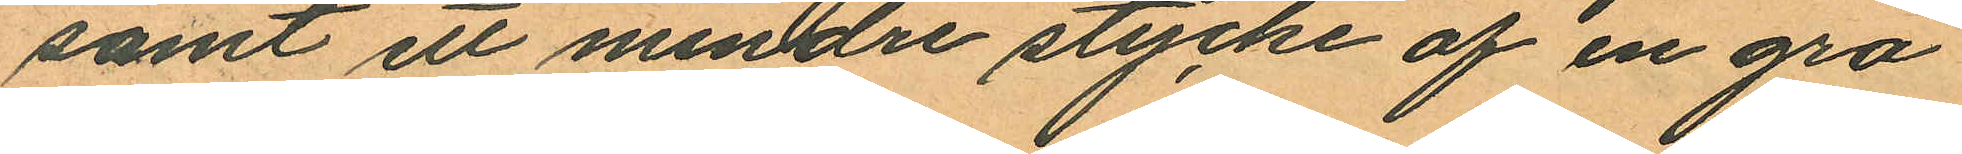samt ett mindre stycke af en grå
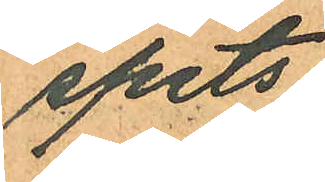spets.
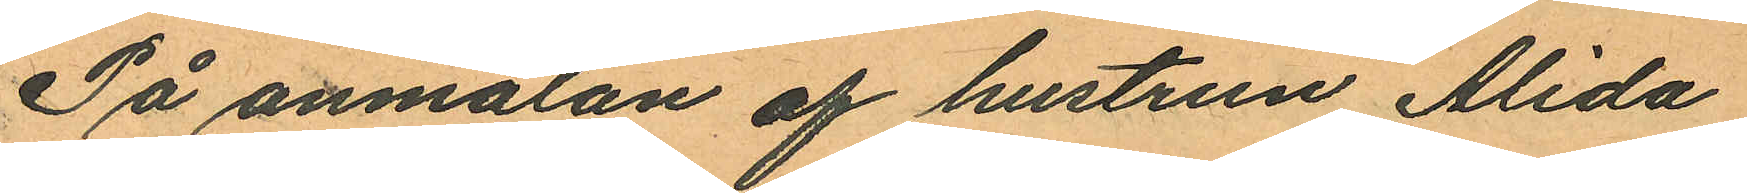På anmälan af hustrun Alida
